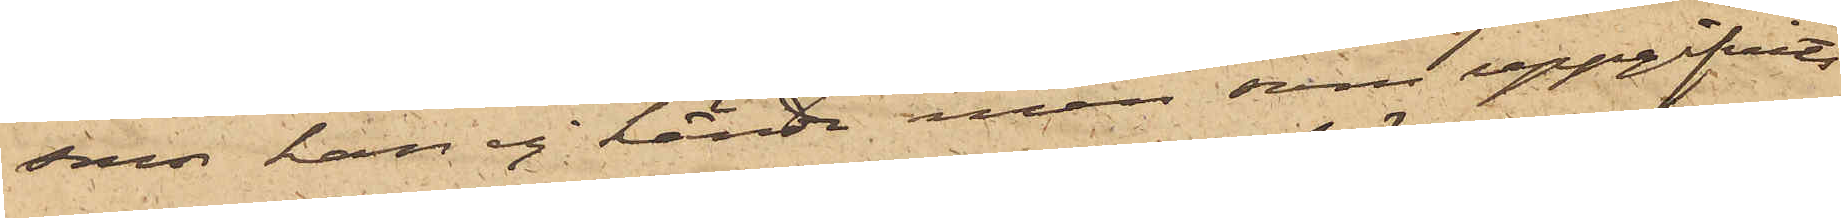som han ej kände men som uppgifvits
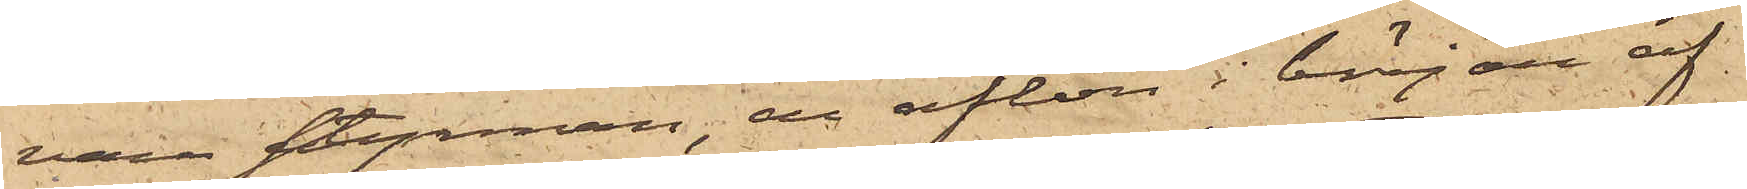vara styrman, en afton i början af
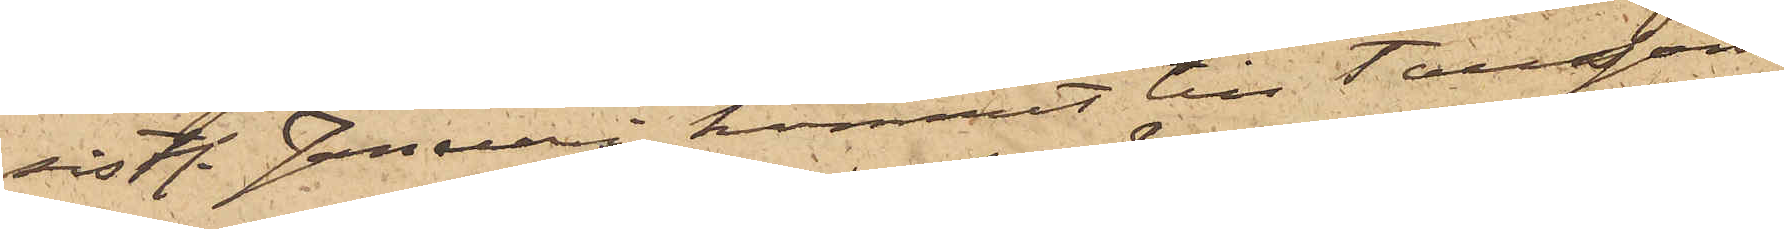sistl. Januari kommit till Taussons
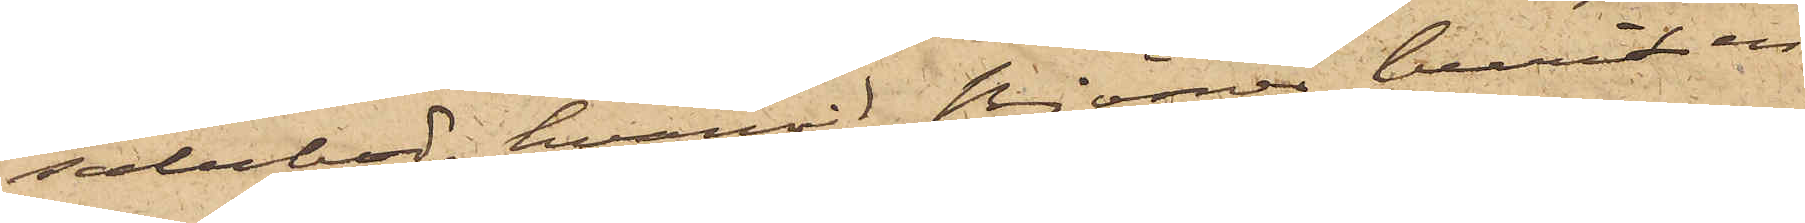salubod, hvarvid Björner burit en
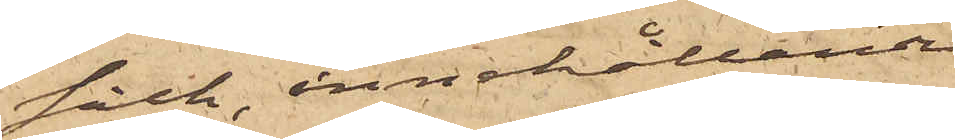säck, innehållande
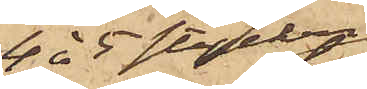4 à 5 stycken
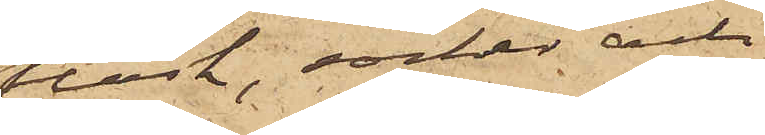fläsk, socker och
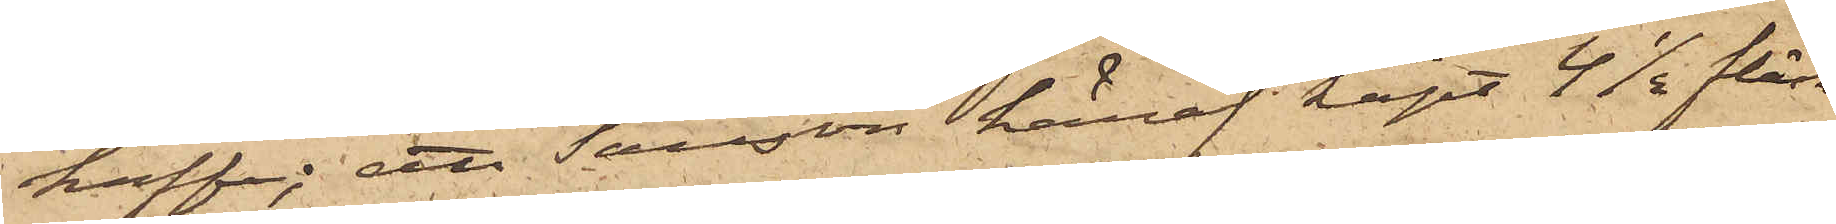kaffe; att Tausson häraf köpt 4½ fläsk,
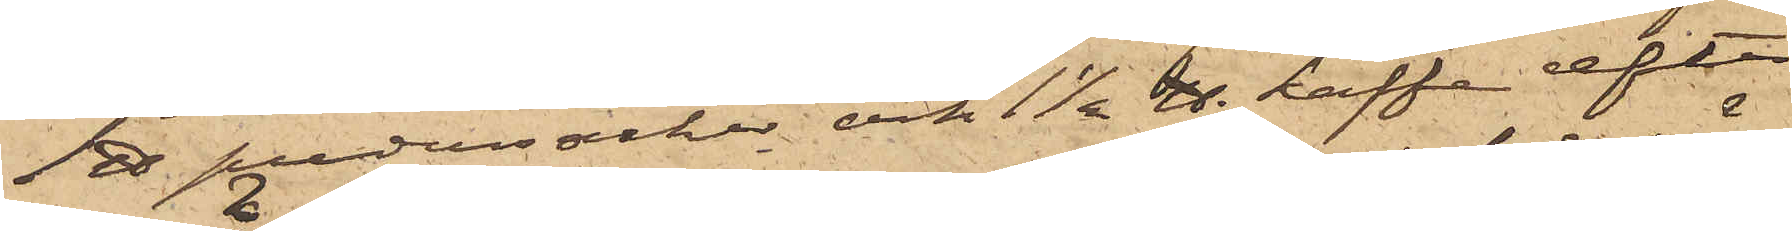1 ℔ pudersocker och 1½ ℔ kaffe efter
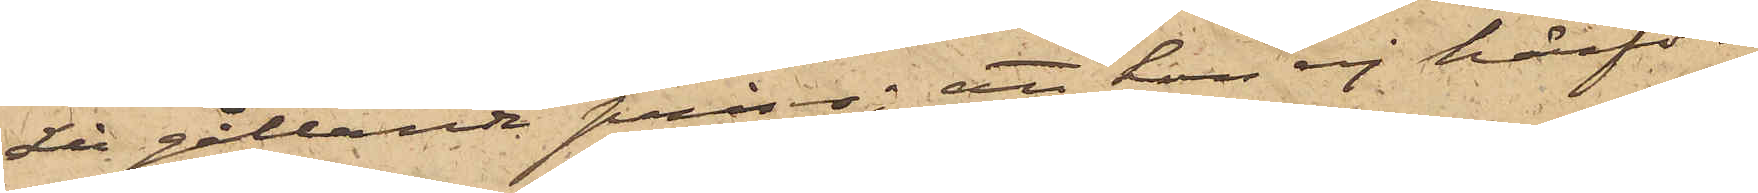då gällande priser; att han ej härför
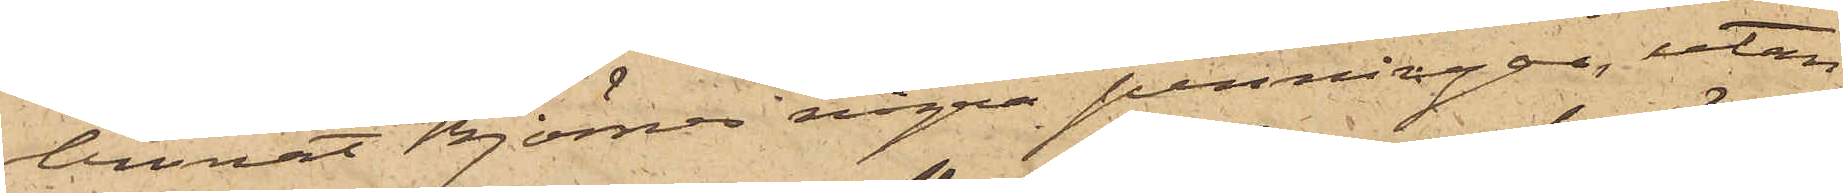lemnat Björner några penningar, utan
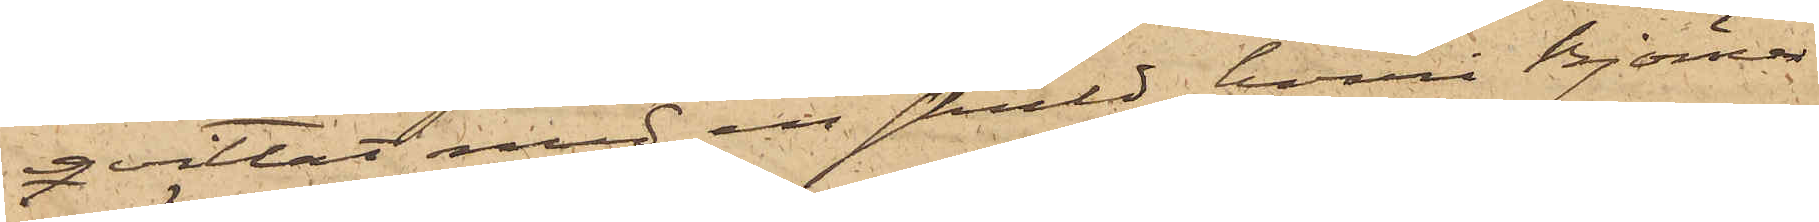qvittat med en skuld, hvari Björner
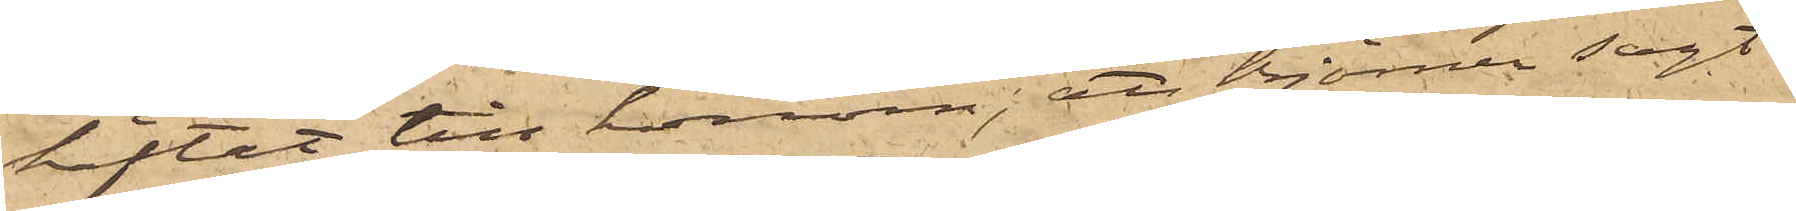häftat till honom; att Björner sagt
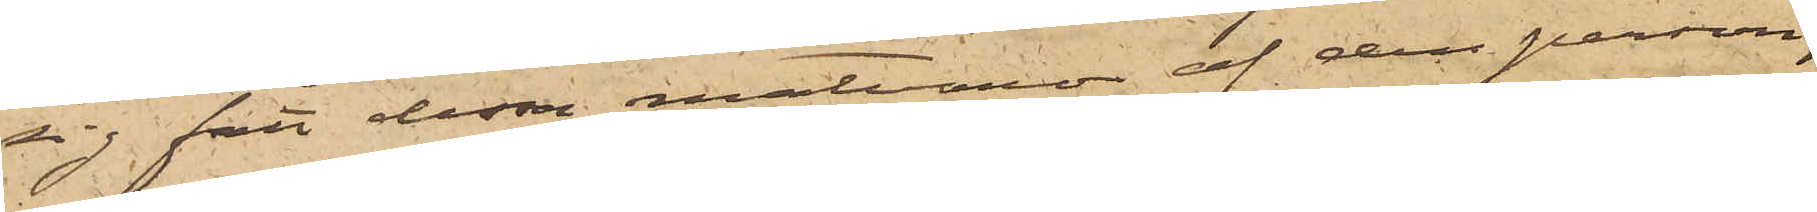sig fått dessa matvaror af den person,
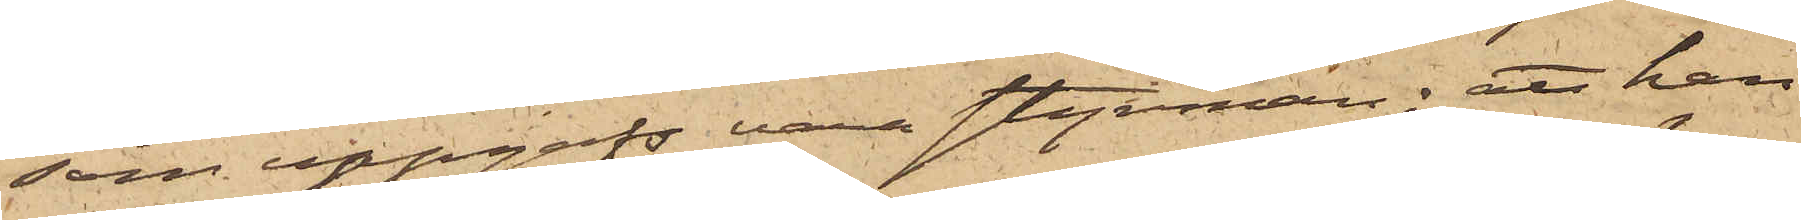som uppgafs vara styrman; att han
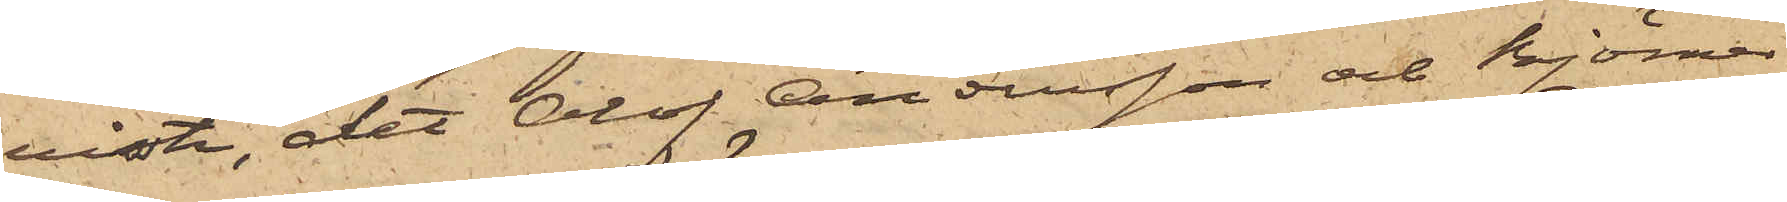visste, det Olof Andersson och Björner
